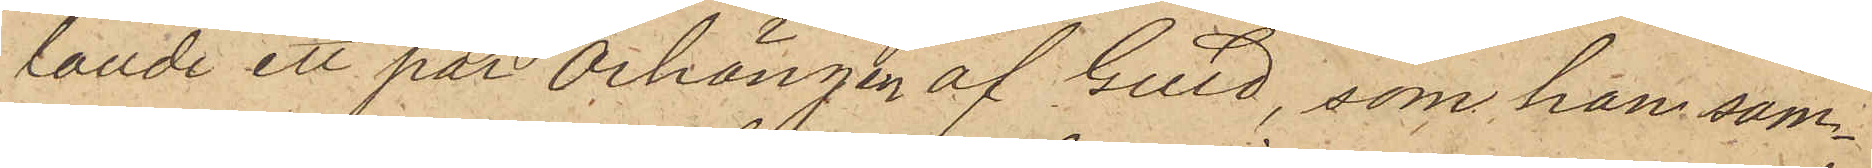lande ett par Örhängen af Guld, som han sam¬
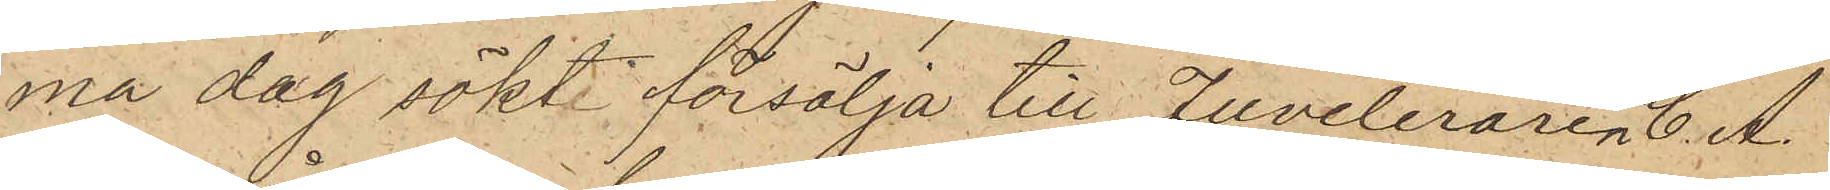ma dag sökt försälja till Juveleraren C. A.
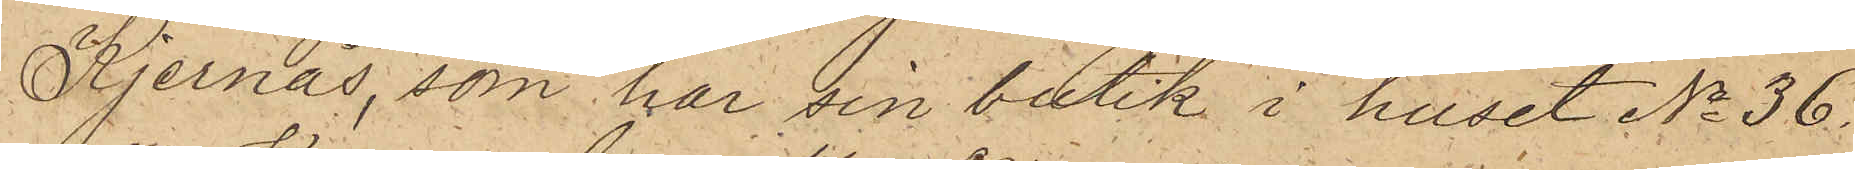Kjernås, som har sin butik i huset No 36
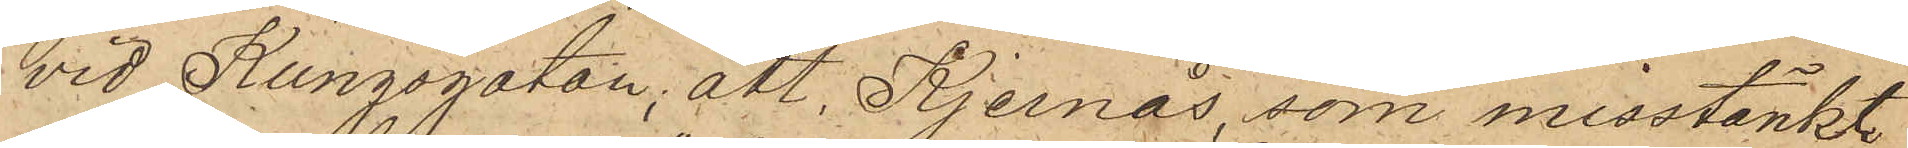vid Kungsgatan; att Kjernås, som misstänkt
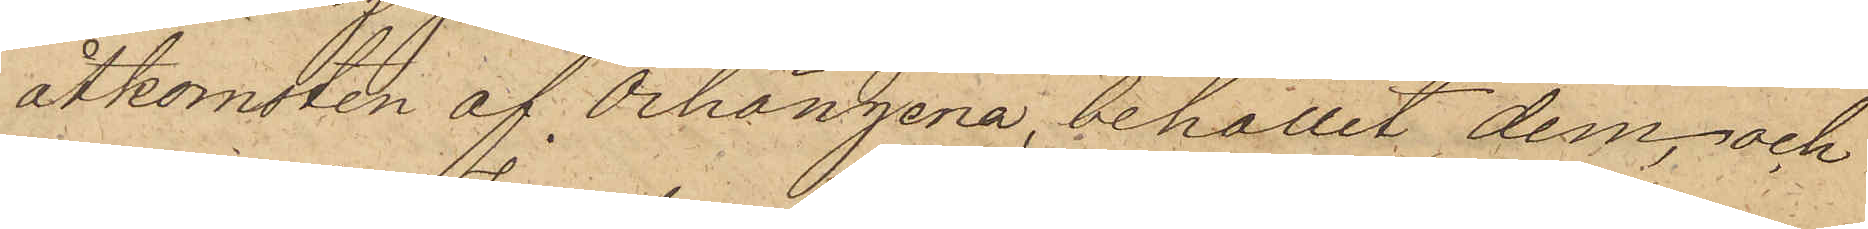åtkomsten af Örhängena, behållit dem, och
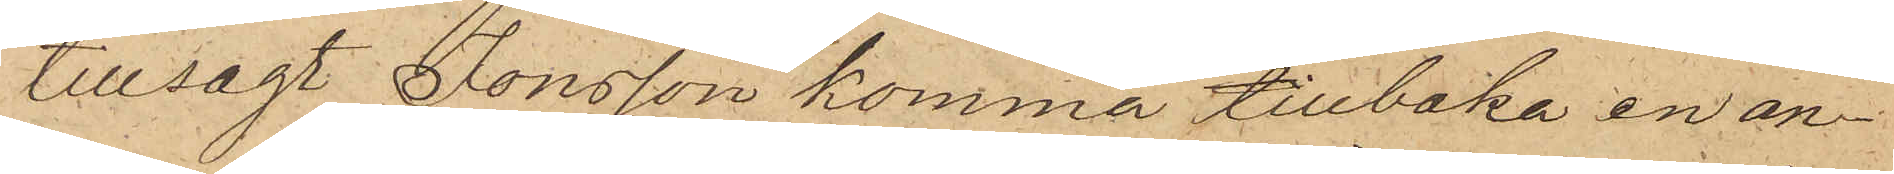tillsagt Jonsson komma tillbaka en an¬
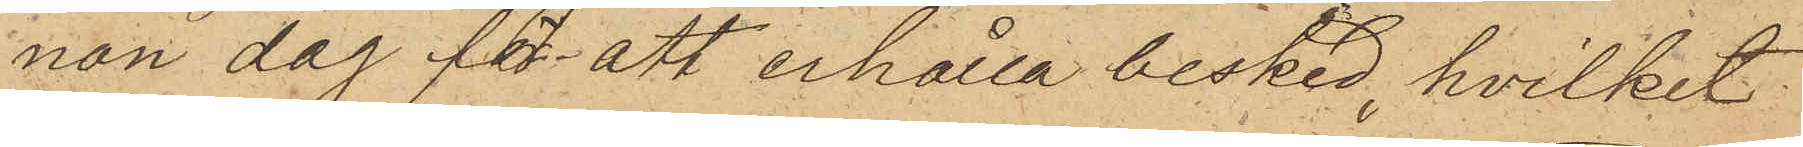nan dag för att erhålla besked, hvilket
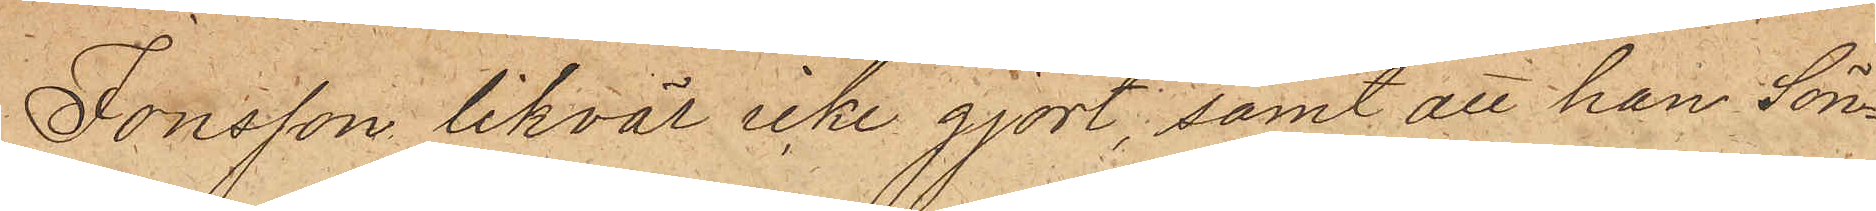Jonsson likväl icke gjort; samt att han Sön¬
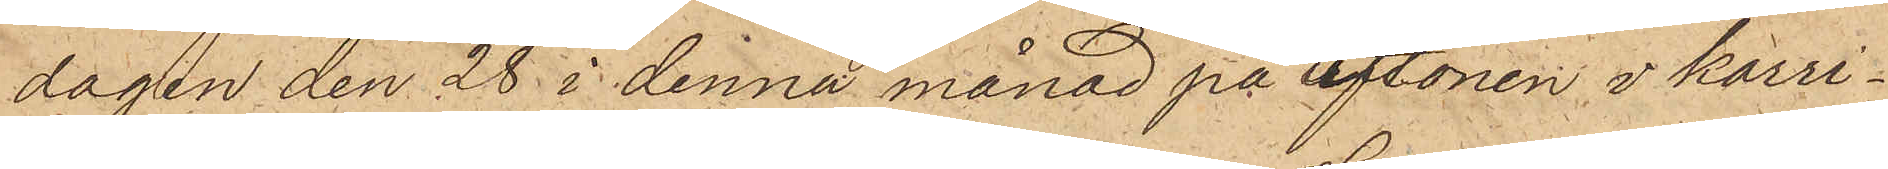dagen den 28 i denna månad på aftonen i korri¬
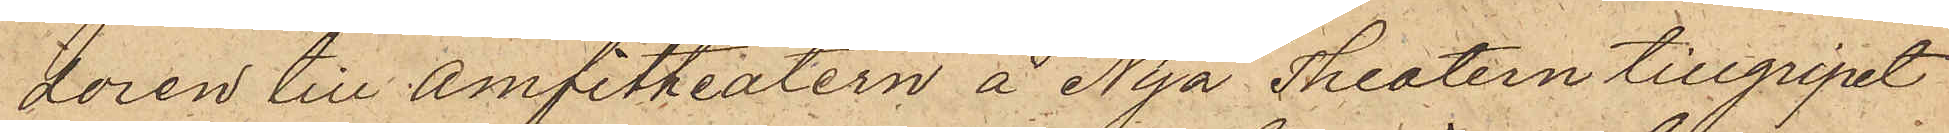doren till Amfitheatern å Nya Theatern tillgripit
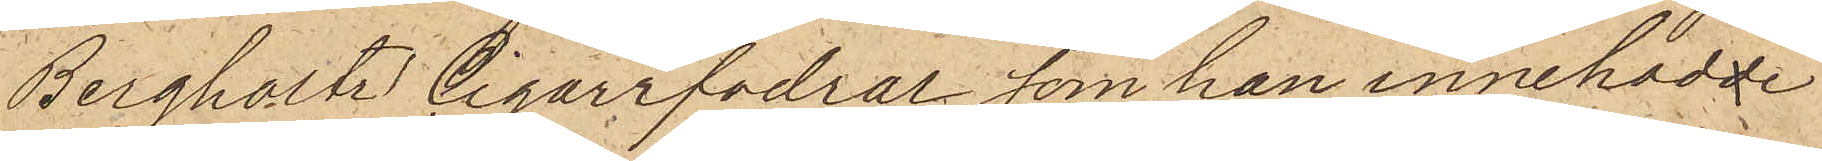Bergholtz' cigarrfodral, som han innehadde
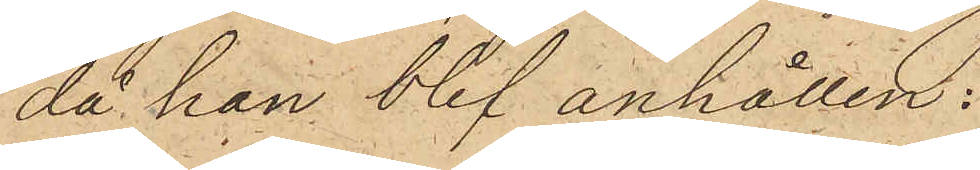då han blef anhållen.
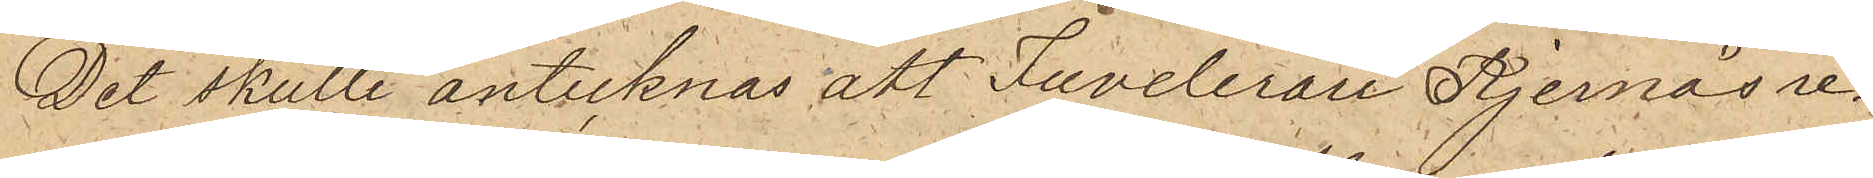Det skulle antecknas, att Juvelerare Kjernås re¬
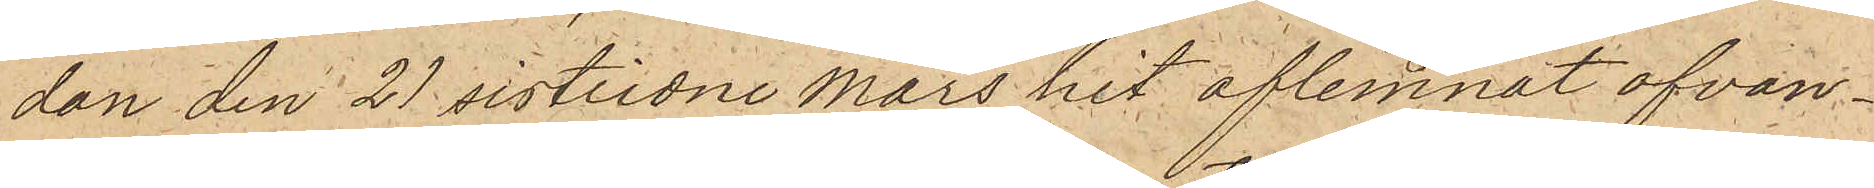dan den 21 sistlidne Mars hit aflemnat ofvan¬
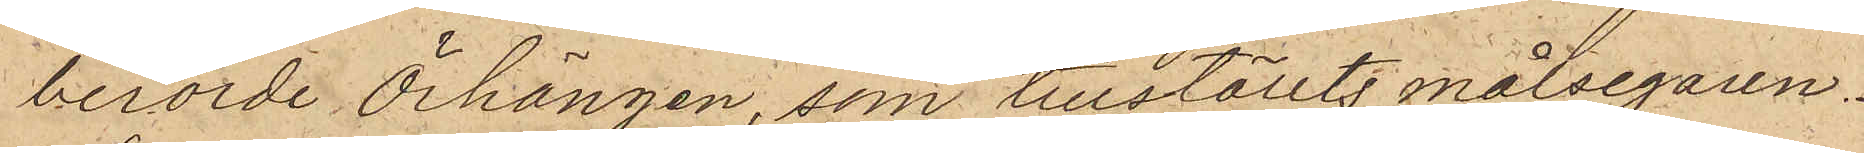berörde Örhängen, som tillställts målsegaren.
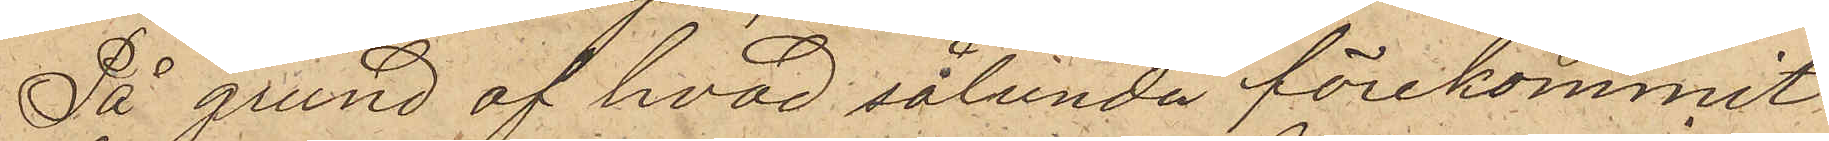På grund af hvad sålunda förekommit
